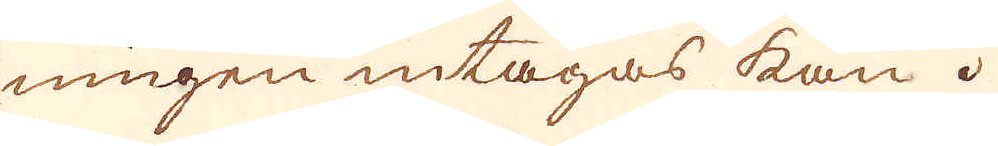ningen intagas kan.
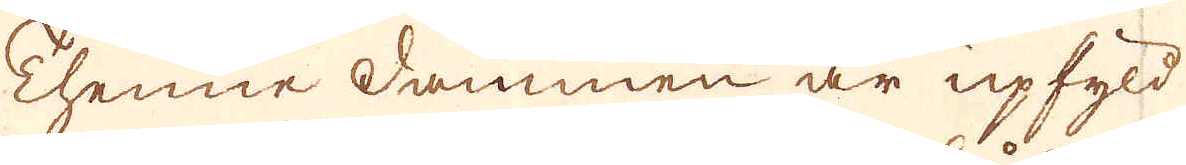Thenne dammen är upfyld
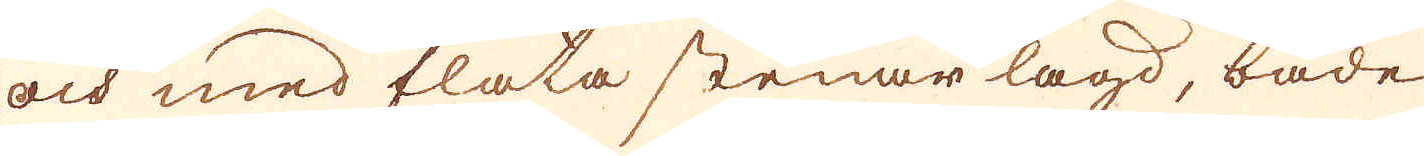och med flata stenar lagd, både
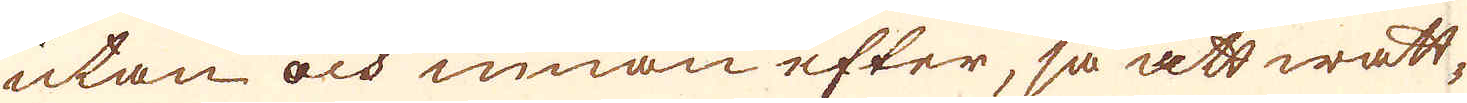utan och innan efter, så att watt-
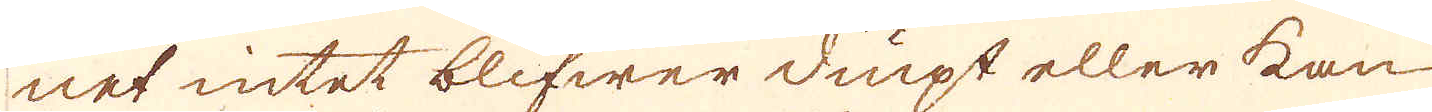net intet blifwer diupt eller kan
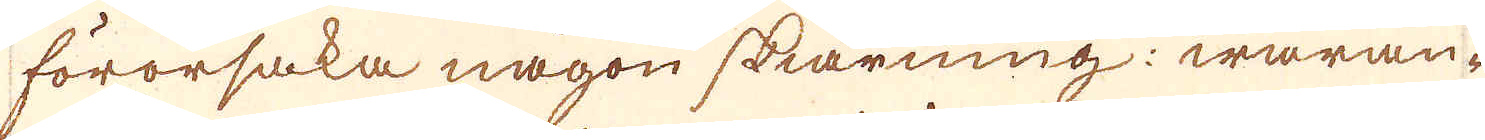förorsaka någon skiärning: waran-
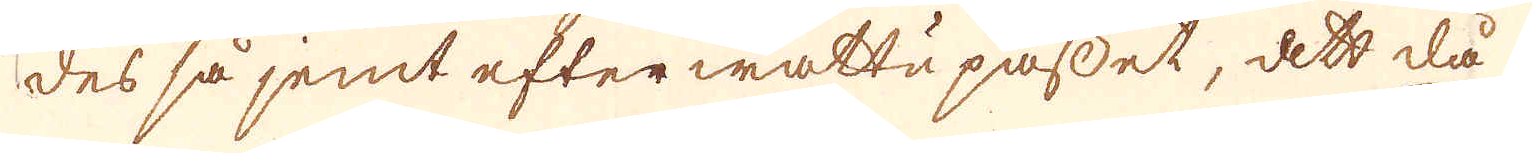des så jemt efter wattu passet, att då
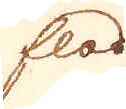flod
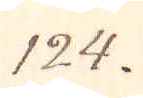124.
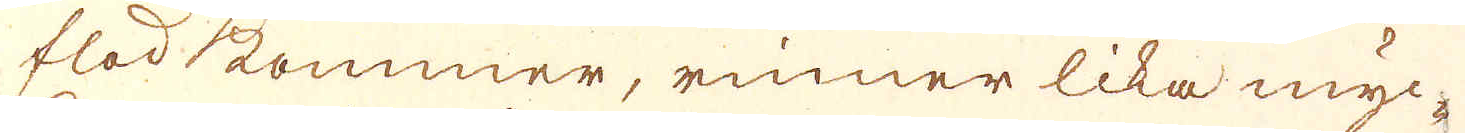flod kommer, rinner lika myc-
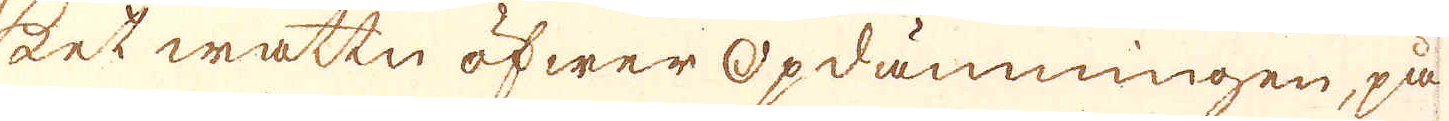ket wattn öfwer opdämningen, på
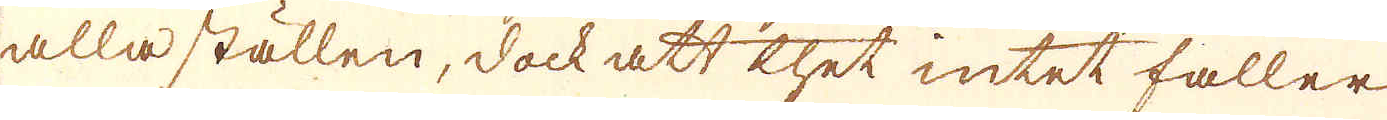alla ställen, dock att thet intet faller
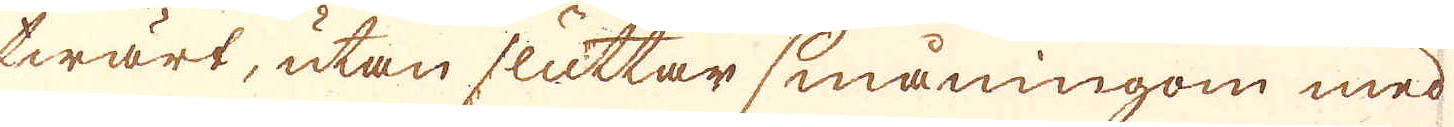twärt, utan sluttar småningom med
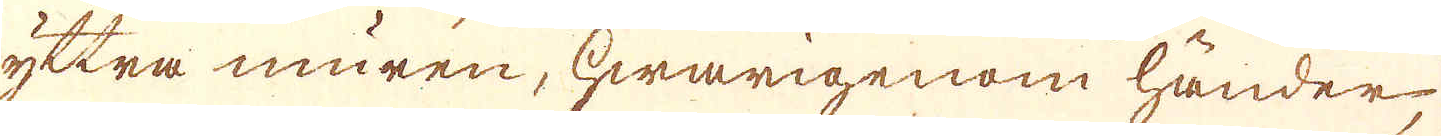yttra muren, hwarigenom händer,
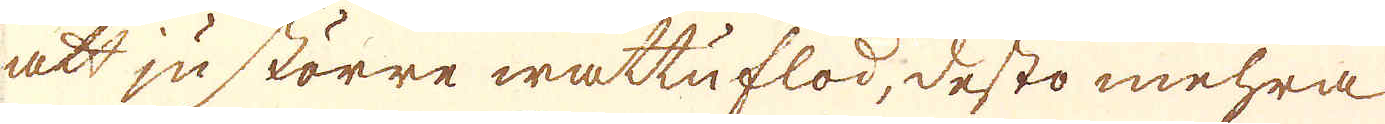att ju större wattuflod, desto mehra
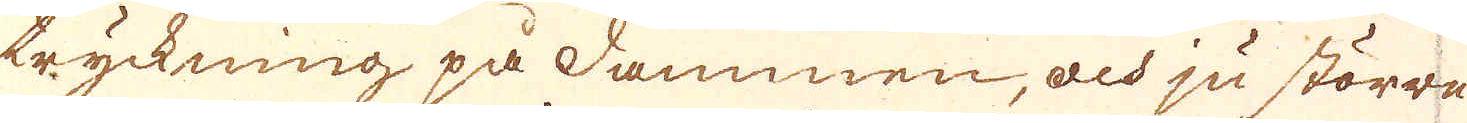tryckning på dammen, och ju större
